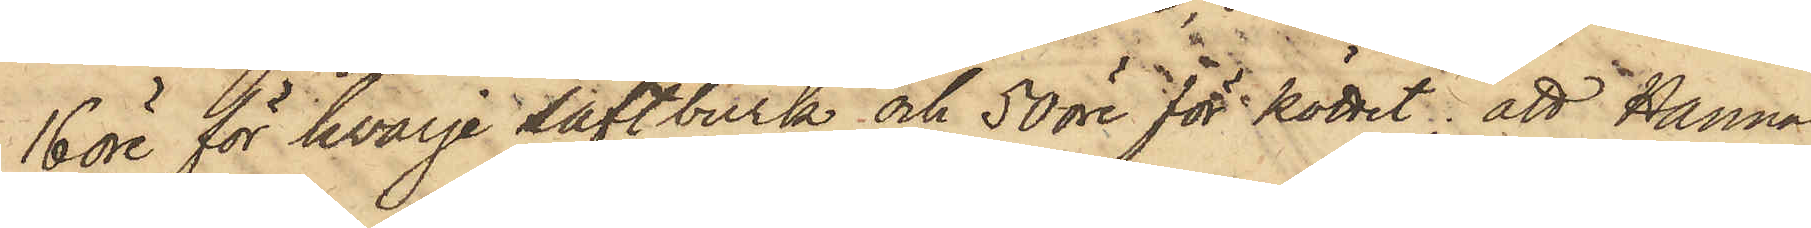16 öre för hvarje saftburk och 50 öre för köttet; att Hanna
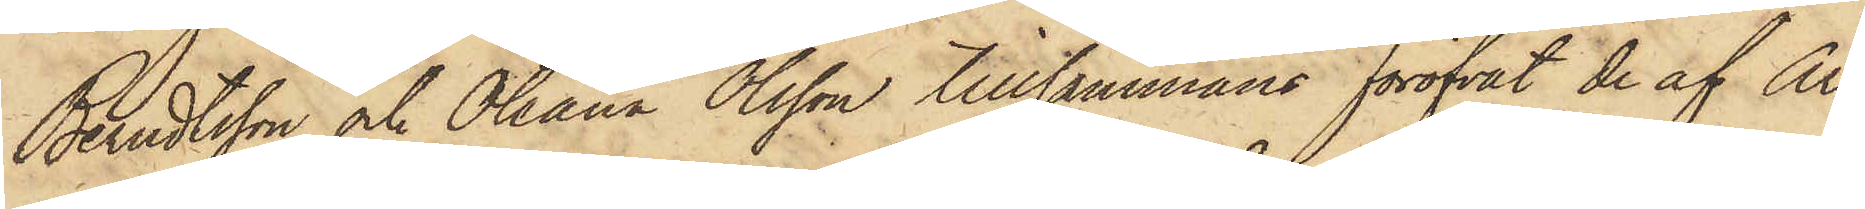Berndtsson och Oleana Olsson tillsammans föröfvat de af Ar¬
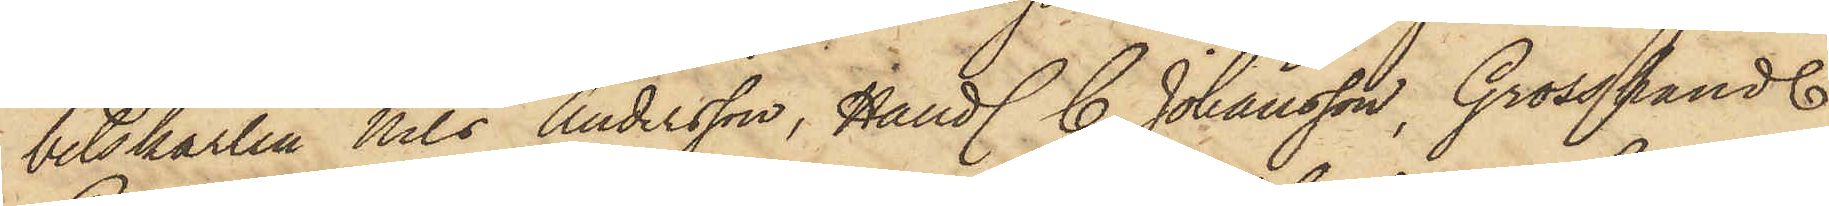betskarlen Nils Andersson, Handl. C. Johansson, Grosshandl.
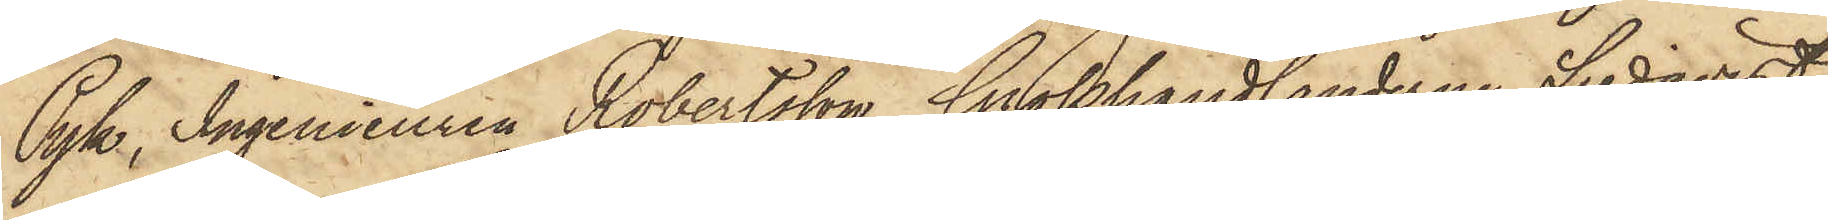Pyk, Ingenieuren Robertsson, Grosshandlanderne Lindqvist
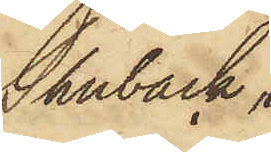Shuback
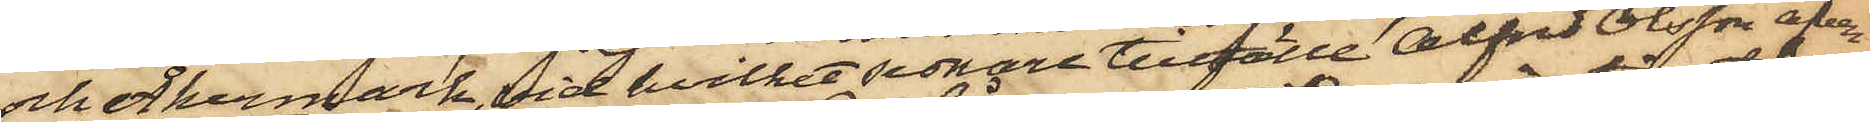och Åkermark, vid hvilket sednare tillfälle Alfred Olsson äfven
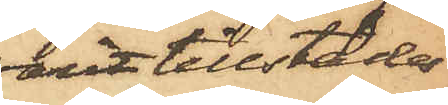varit tillstädes
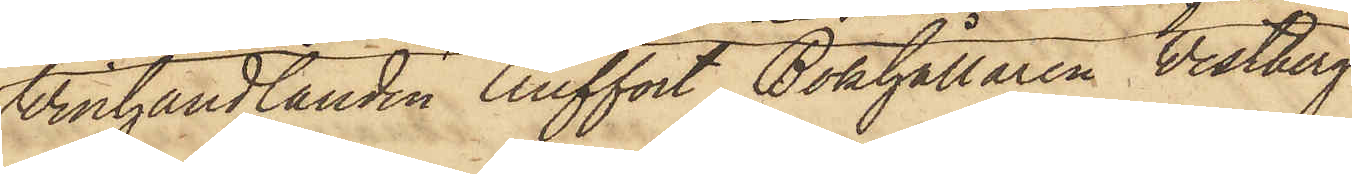Winhandlanden Auffort, Bokhållaren Vestberg
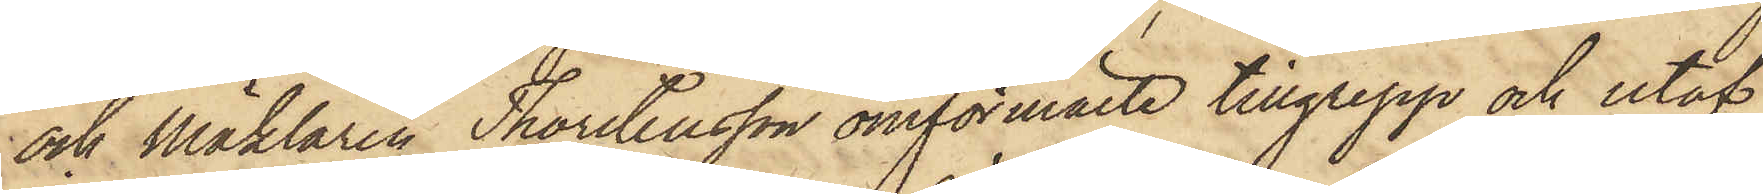och Mäklaren Thorstensson omförmälde tillgrepp och utaf
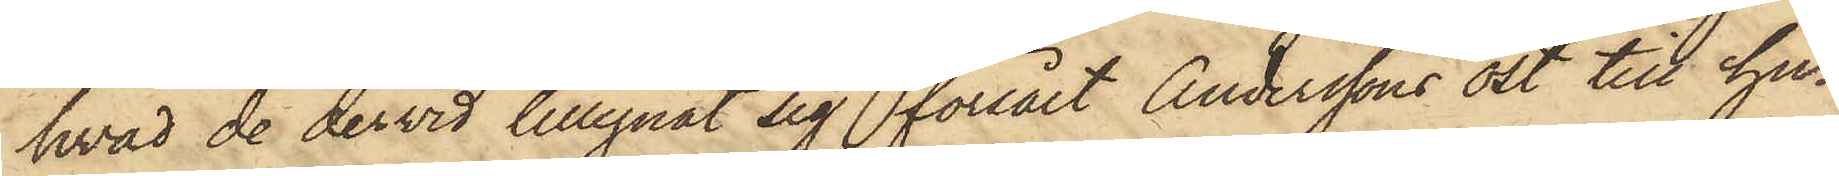hvad de dervid tillegnat sig försålt Anderssons ost till hu¬
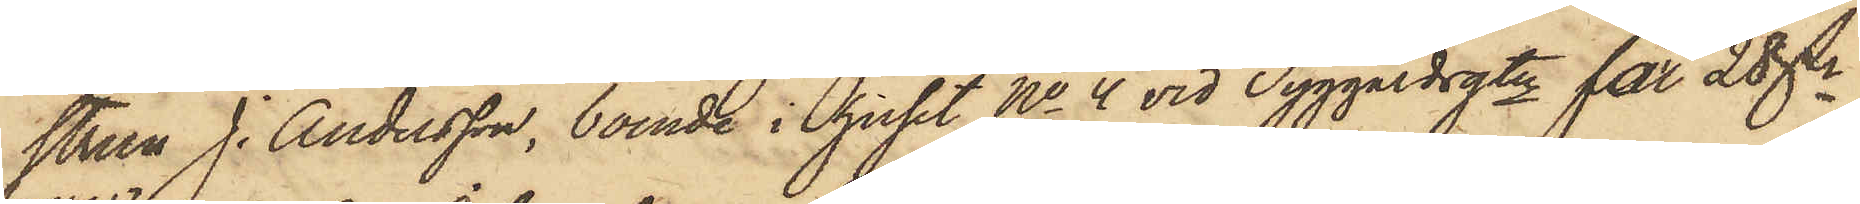strun J. Andersson, boende i huset No 4 vid Tyggårdsgtn för 28 dr
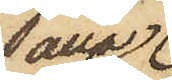alla
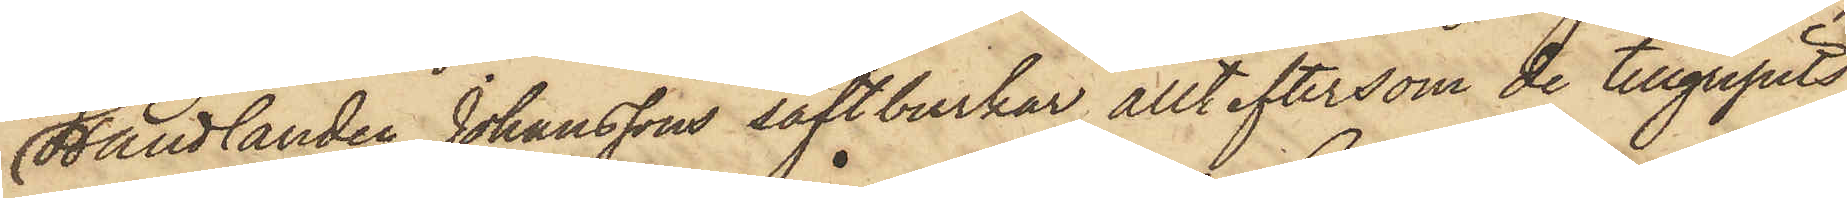Handlanden Johanssons saftburkar, allt eftersom de tillgripits,
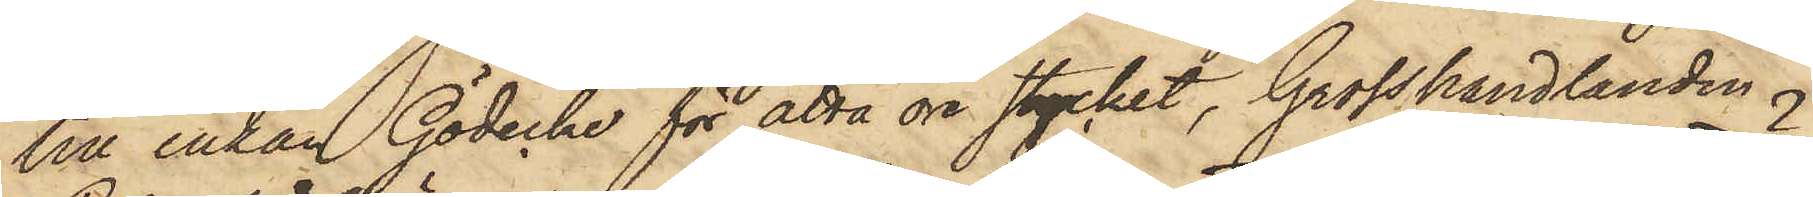till Enkan Gödecke för åtta öre stycket, Grosshandlanden
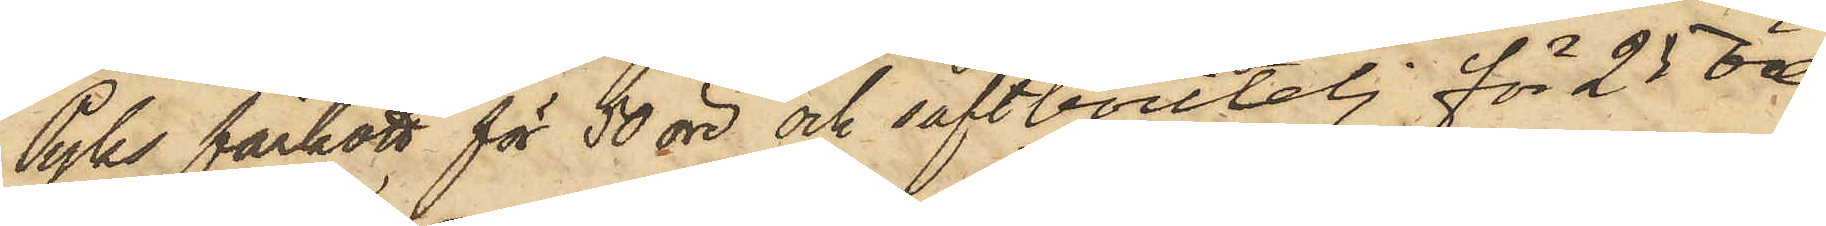Pyks fårkött för 50 öre och saftboutelj för 25 öre
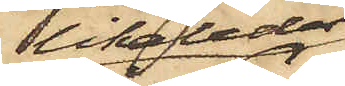likaledes
